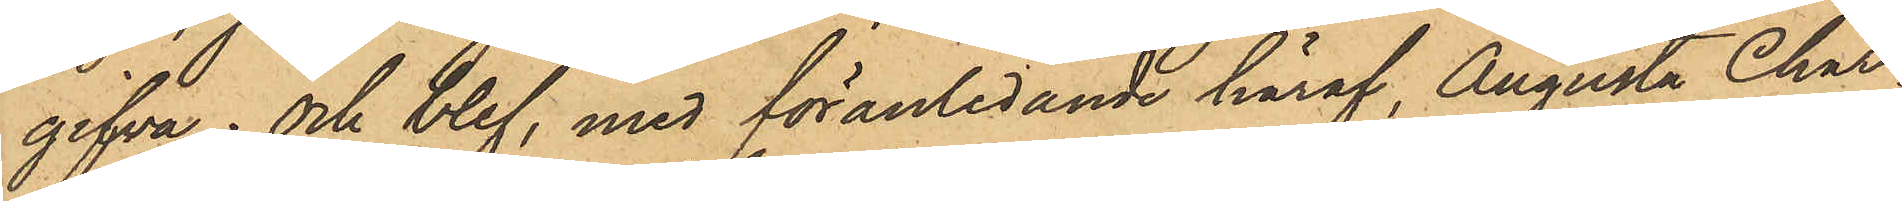gifva; och blef, med föranledande häraf, Augusta Char¬
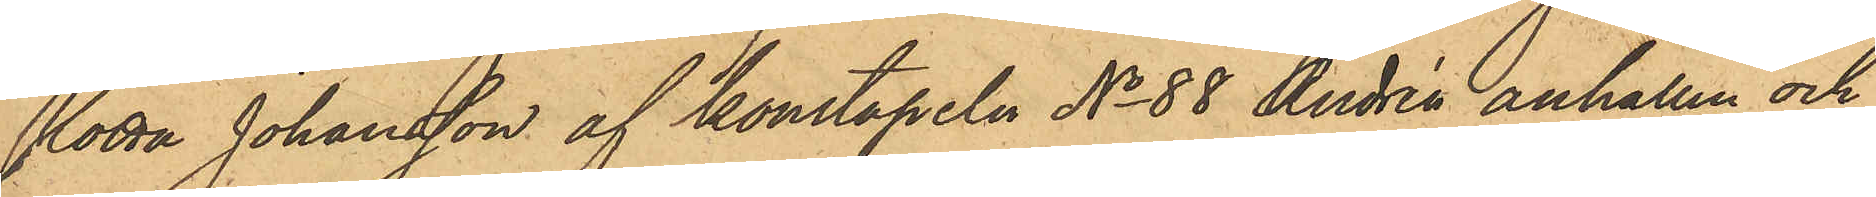lotta Johansson af konstapeln No 88 Andrén anhållen och
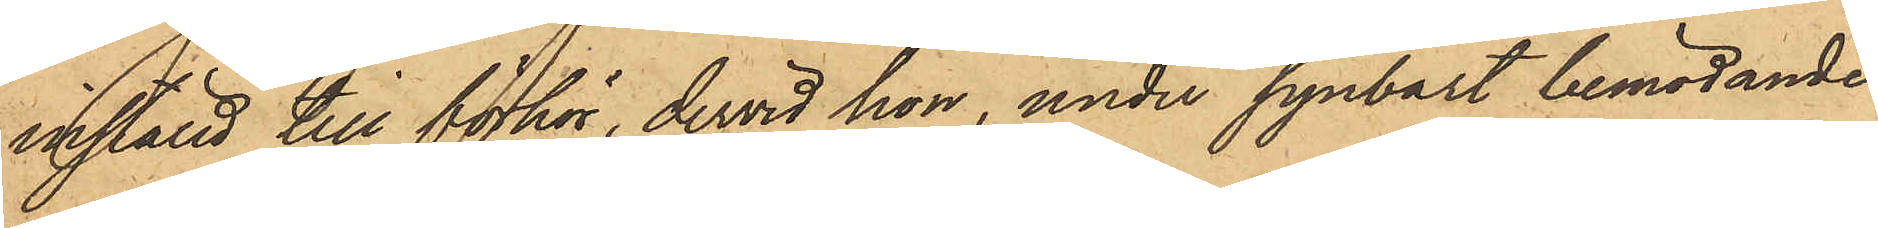inställd till förhör, dervid hon, under synbart bemödande
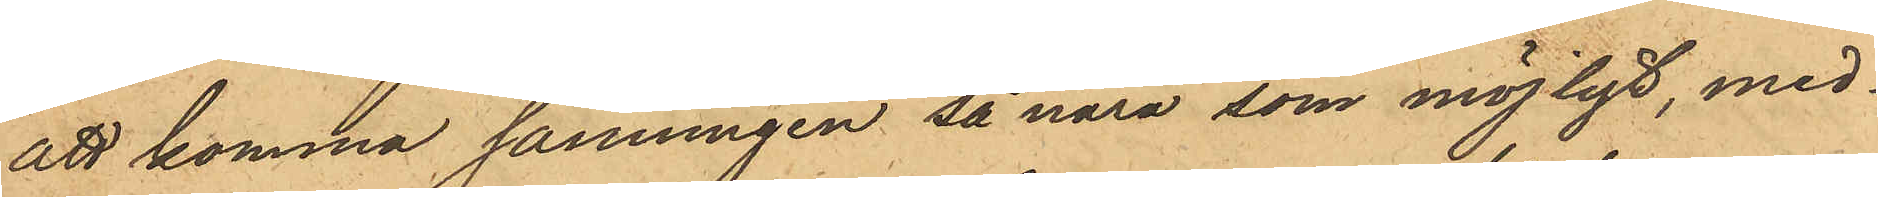att komma sanningen så nära som möjligt, med¬
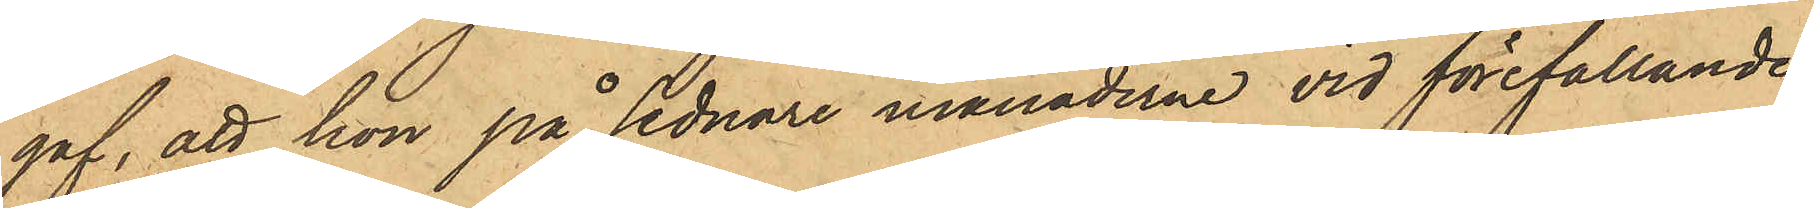gaf, att hon på sednare månaderna vid förefallande
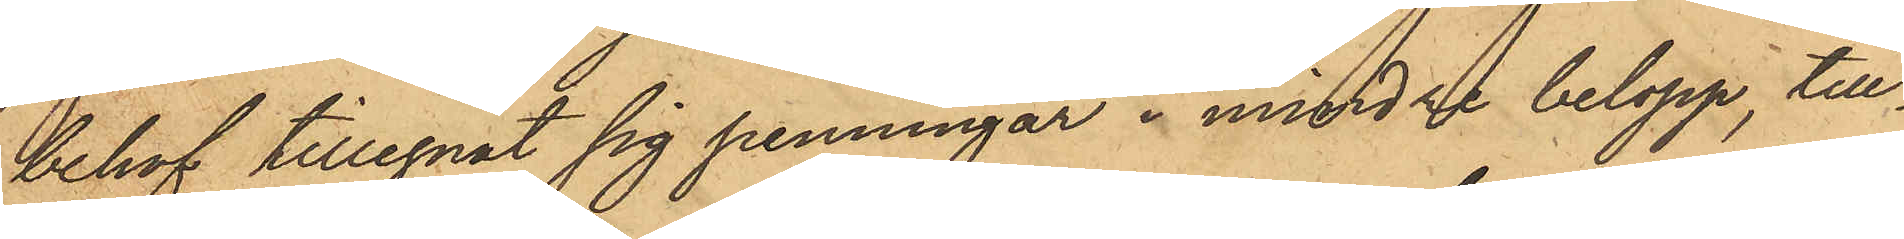behof tillegnat sig penningar i mindre belopp, till¬
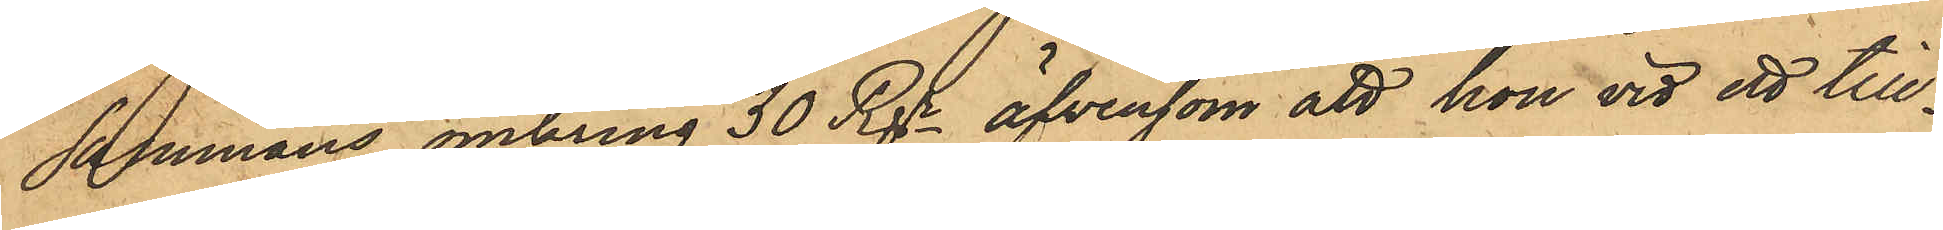sammans omkring 30 Rgr, äfvensom att hon vid ett till¬
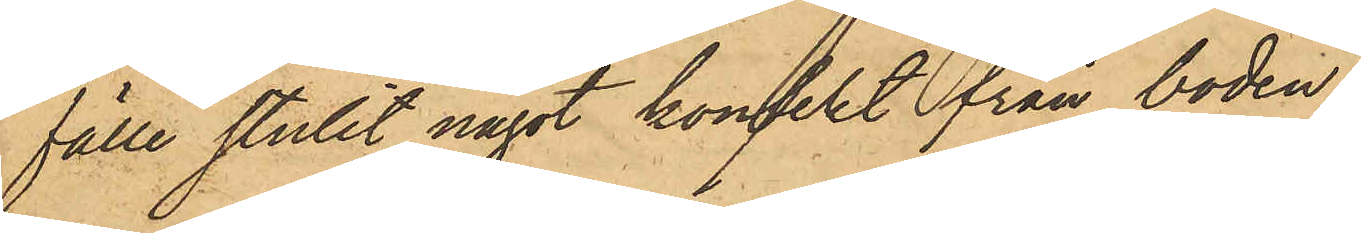fälle stulit något konfekt från boden.
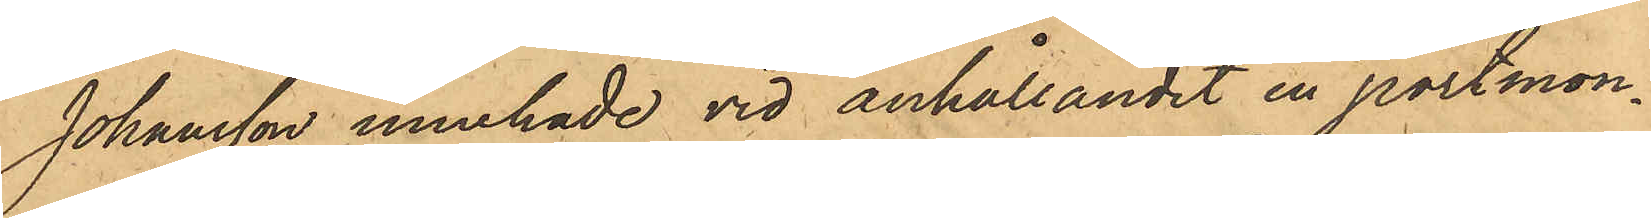Johansson innehade vid anhållandet en portmon¬
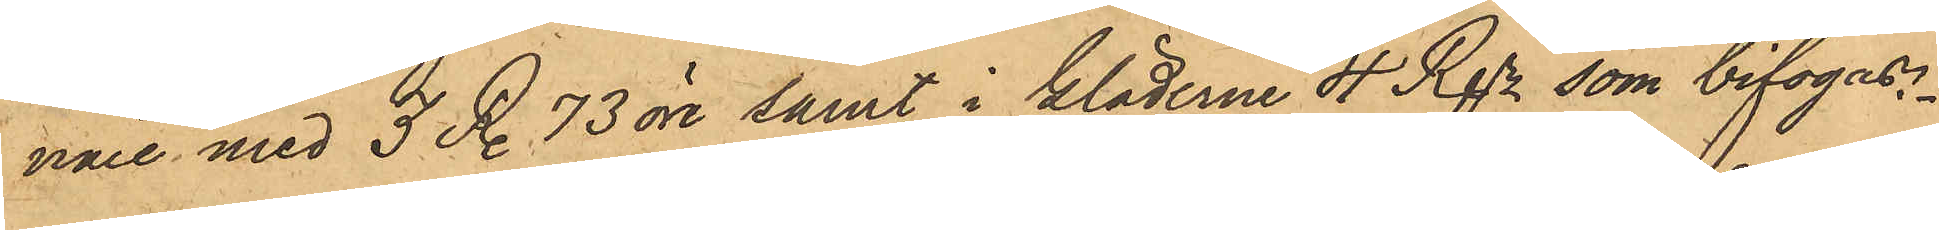nare med 3 R. 73 öre samt i kläderne 4 Rgr som bifogas.
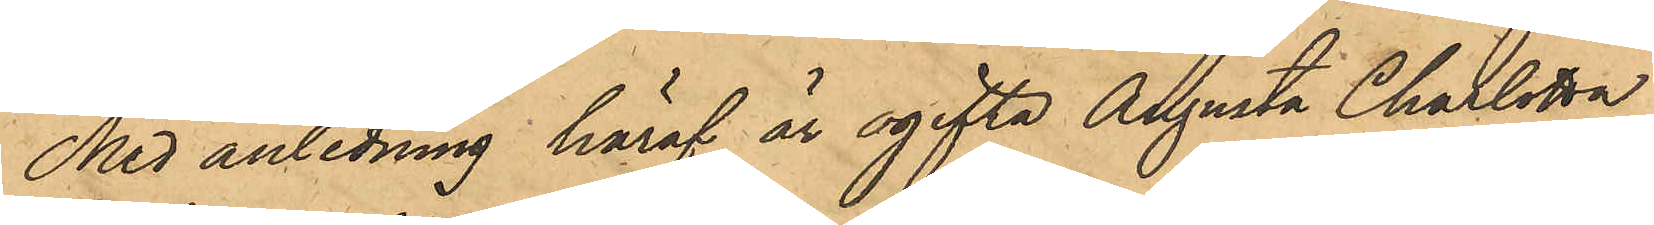Med anledning häraf är ogifta Augusta Charlotta
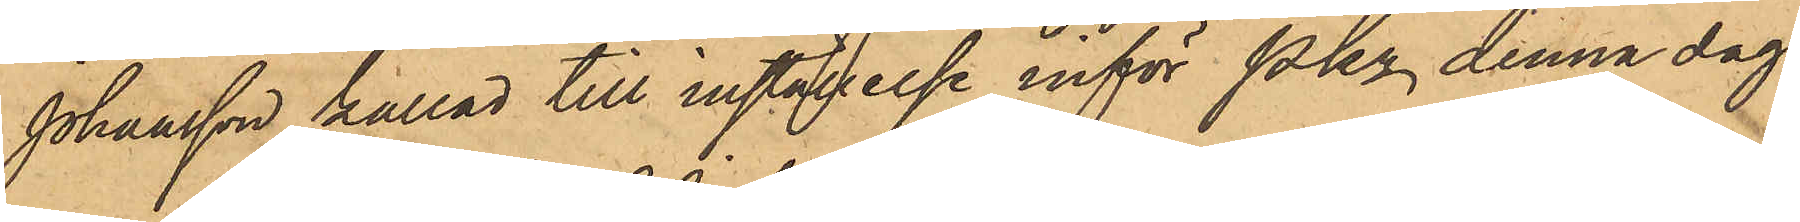Johansson kallad till inställelse inför Pkn denna dag.
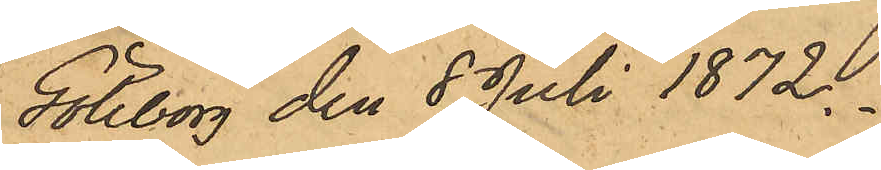Göteborg den 8 Juli 1872.
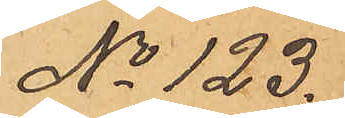No 123.
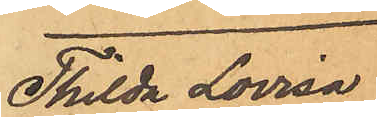Thilda Lovisa
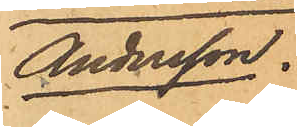Andersson.
